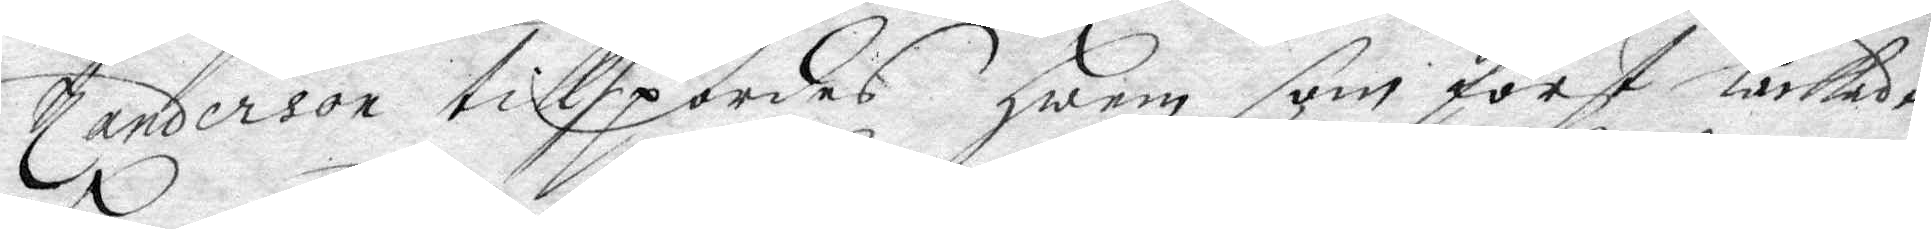Zanderson tillspordes hwem som först låckade
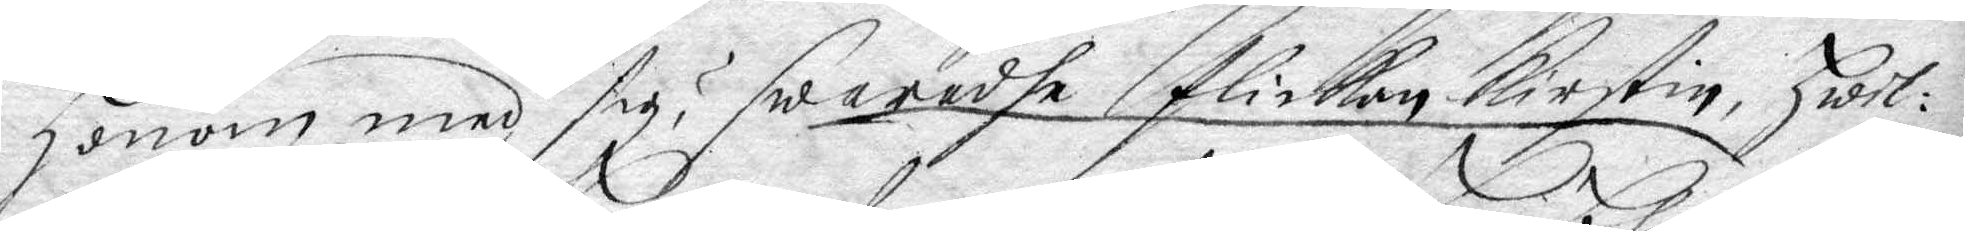honom med sig? swaradhe flickan Kirstin, hwil¬
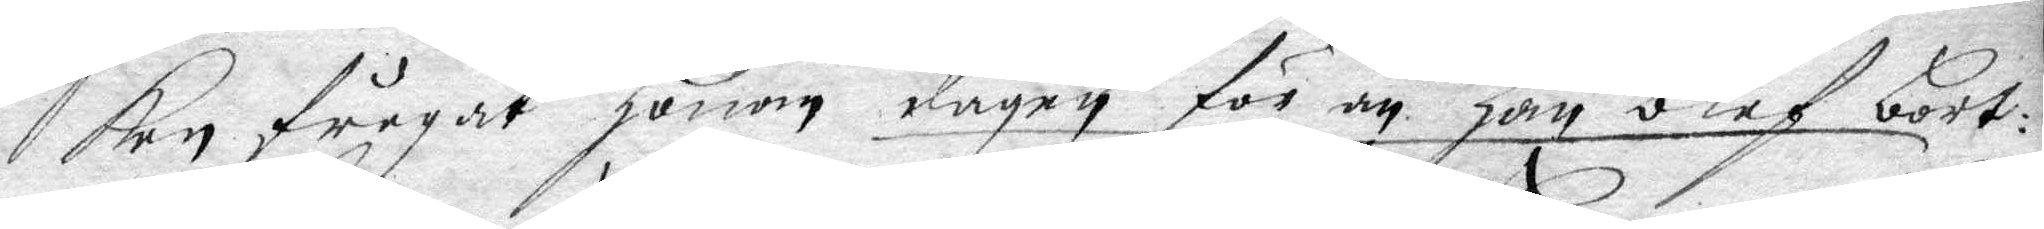ken frågat hnom dagen för än han blef bort¬
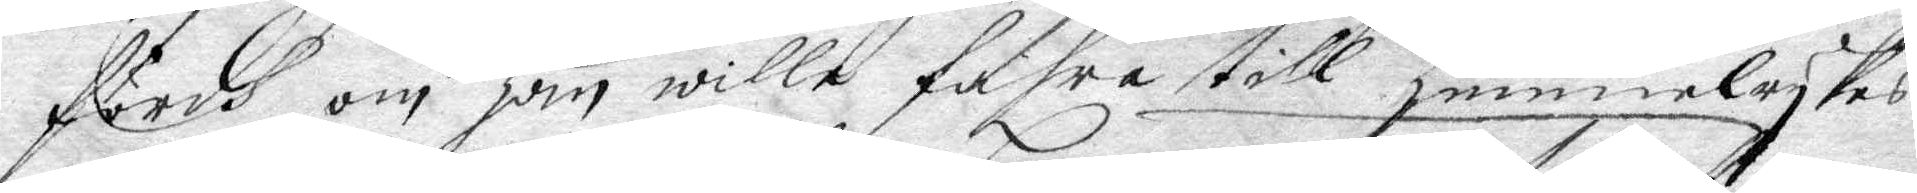fördh om han wille fahra till himmelrykes
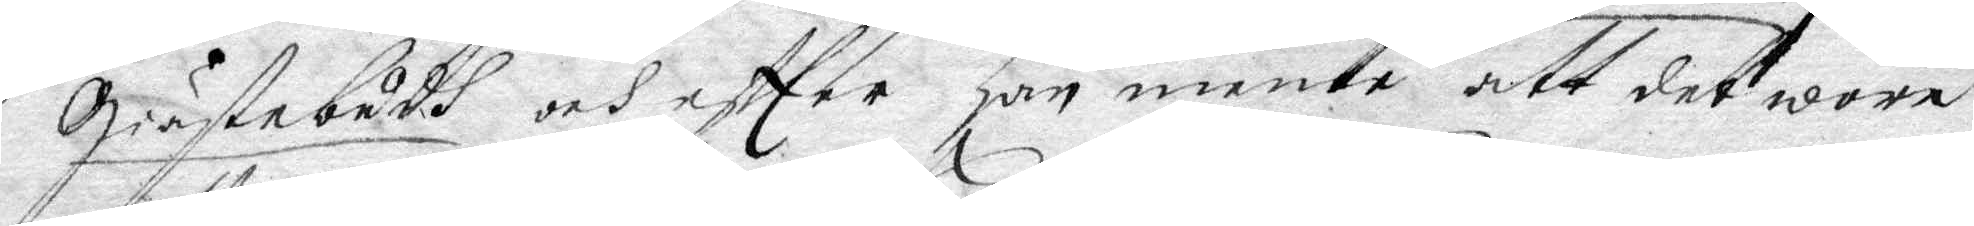Giästebudh och efter han mente ann det wore
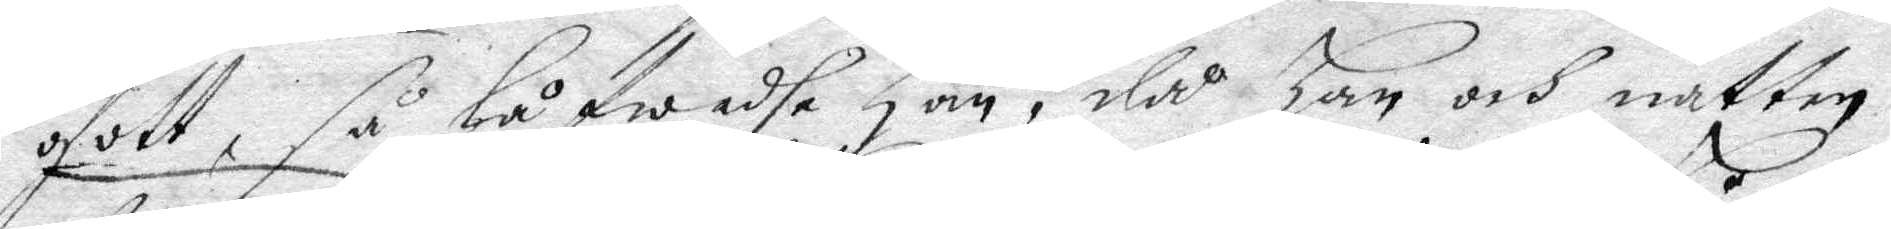gott, så låfwadhe han, då han och natten
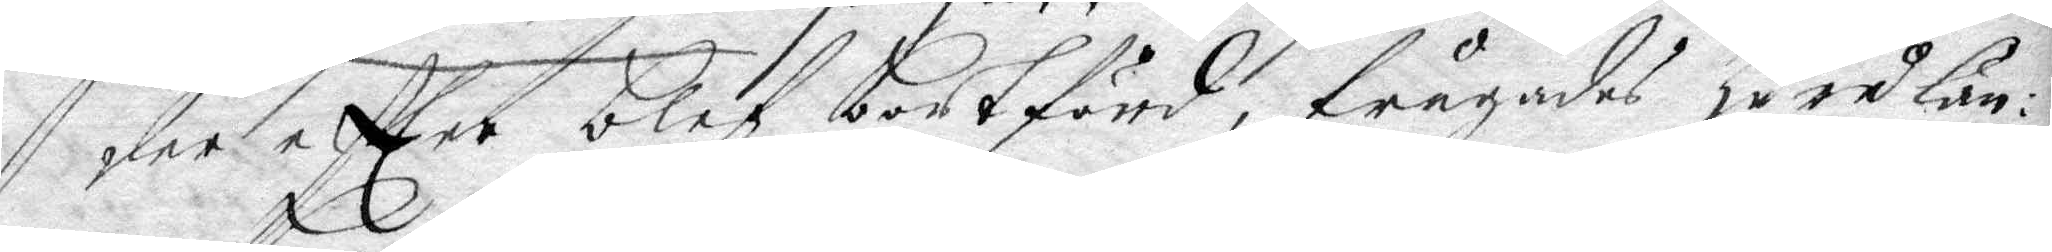derefter blef bortförd, frågades huru län¬
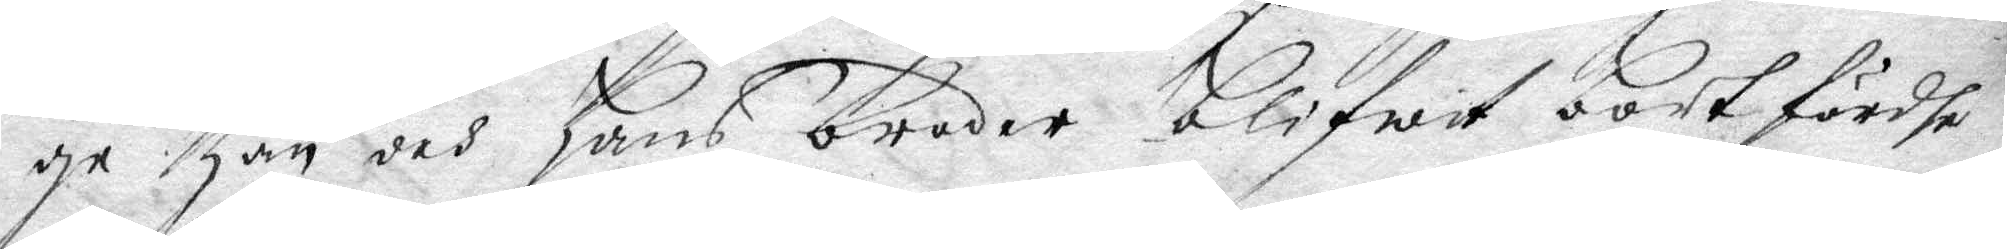ge han och hans broder blifwit bortfrdhe
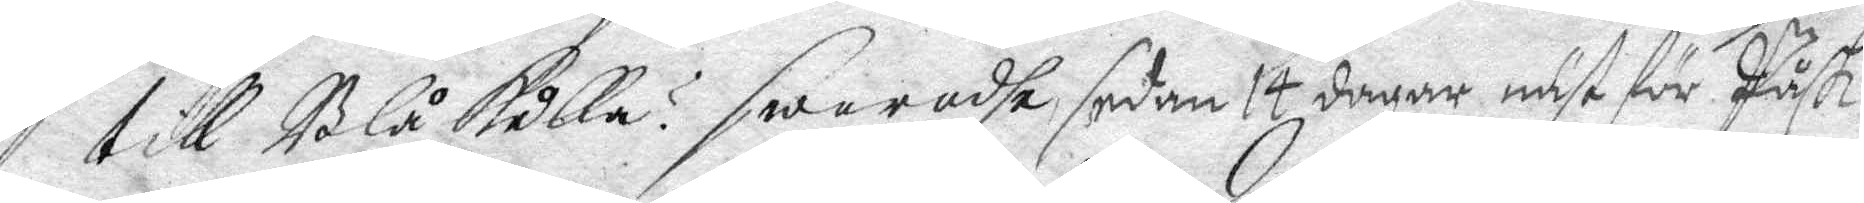till Blåkulla? swaradhe sedan 14 dagar näst för Påsk.
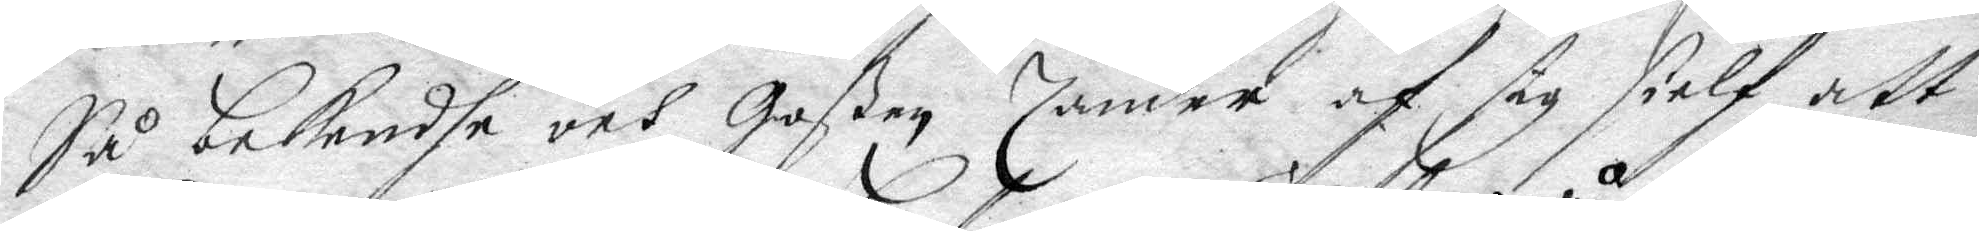Så bekendhe och Goßen Zander af sig sielf att
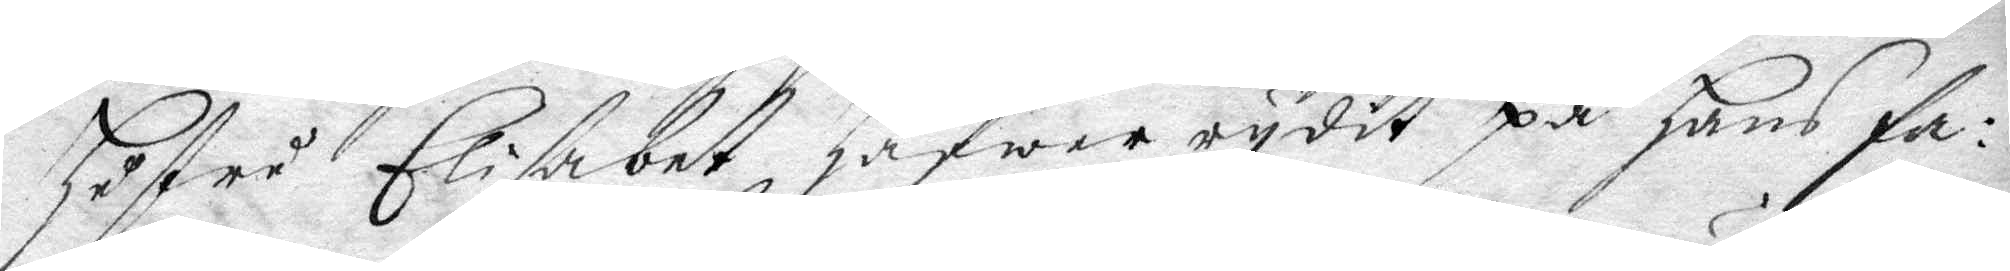hustru Elisabet hafwer rydit på hans fa¬
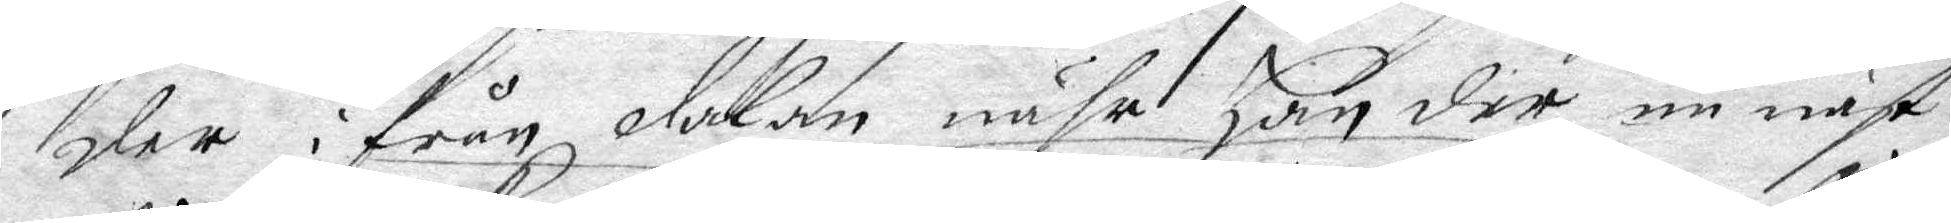der ifrån dalen nähr han der nu näst
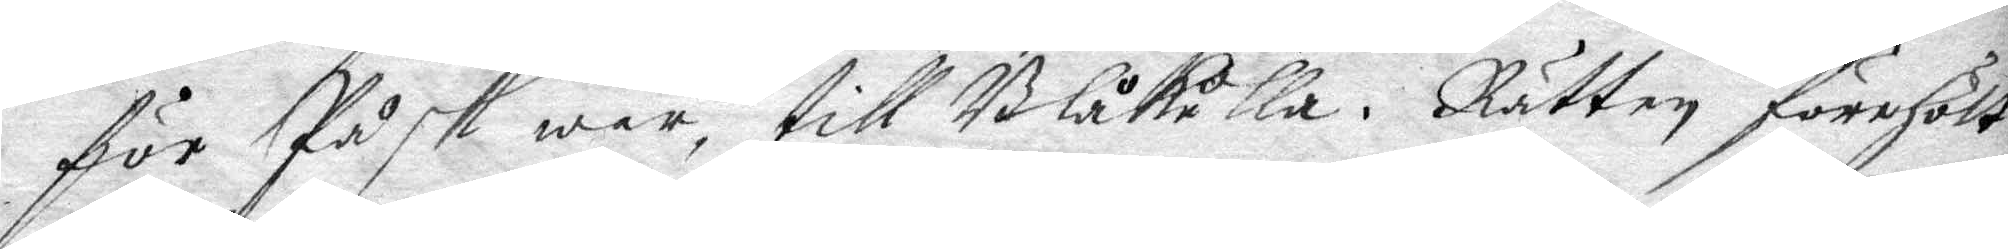för Påsk war till Blåkulla. Rätten förehölt
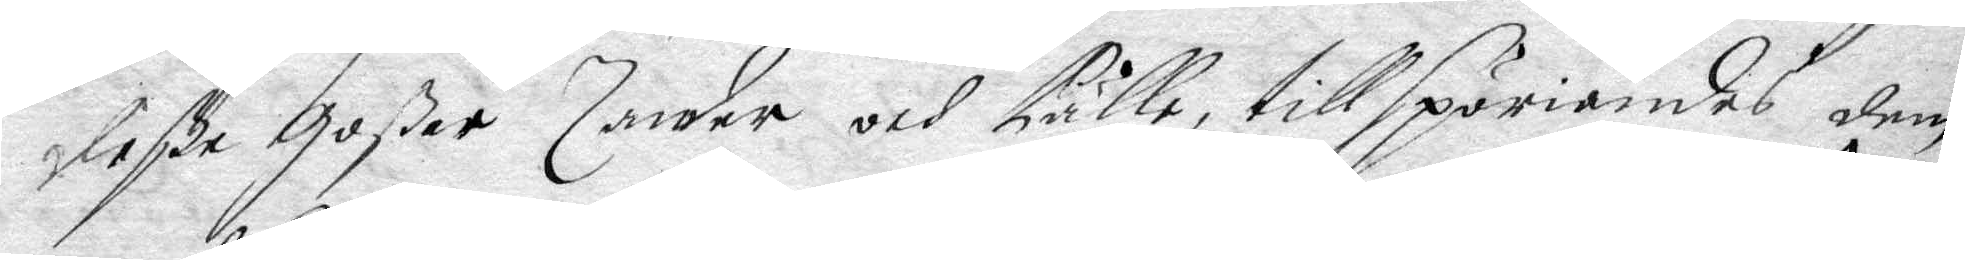deße goßar Zander och Pälle, tillspörjandes dem
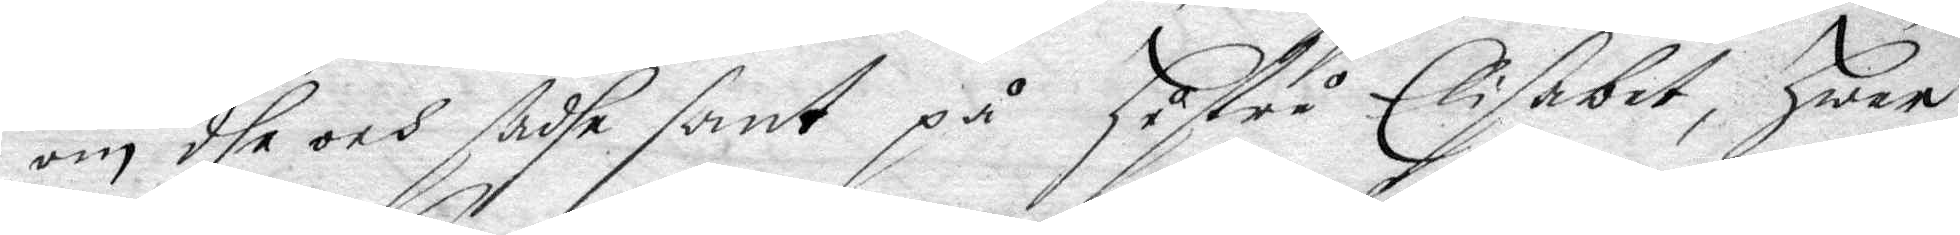om dhe och sadhe sant på hustru Elisabet, hwar¬
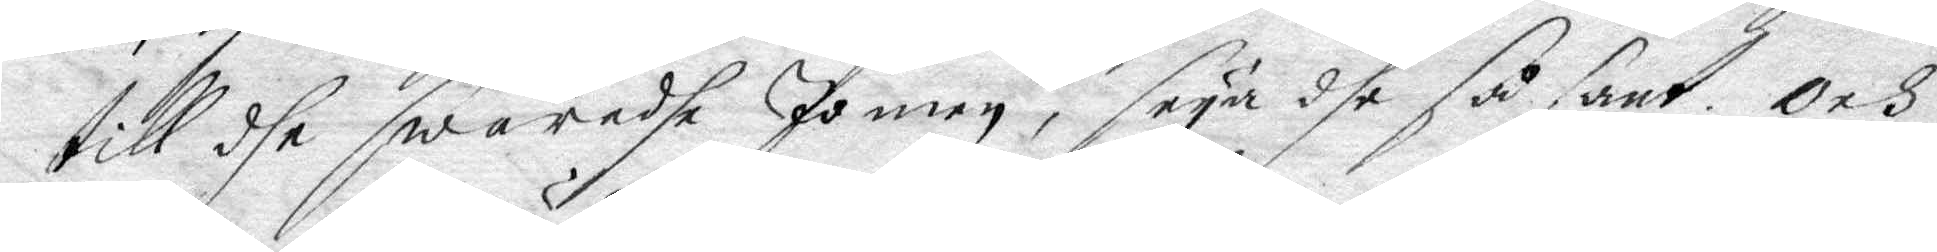till dhe swarade Jan men, säya dhe så sant, och
